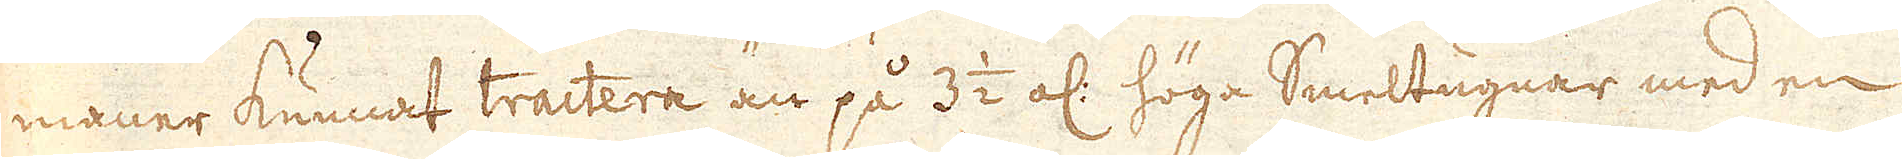maner kunnat tractera än på 3 1/2 ol: höga Smeltugnar med en
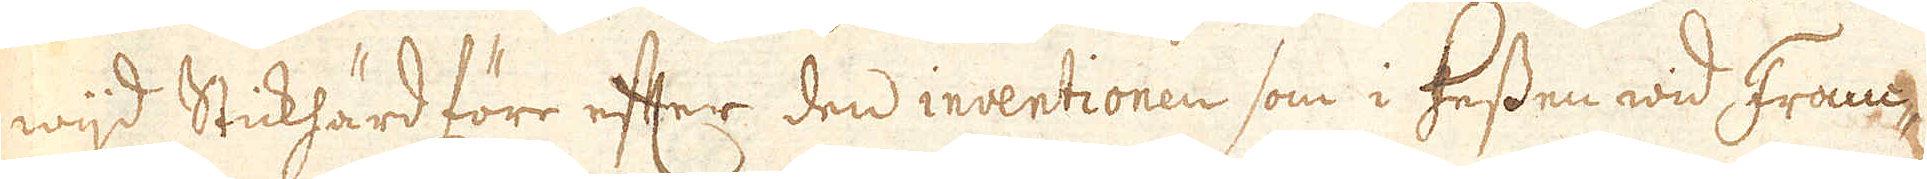wijd Stickhärd förr efter den inventionen som i Hessen wid Franc-
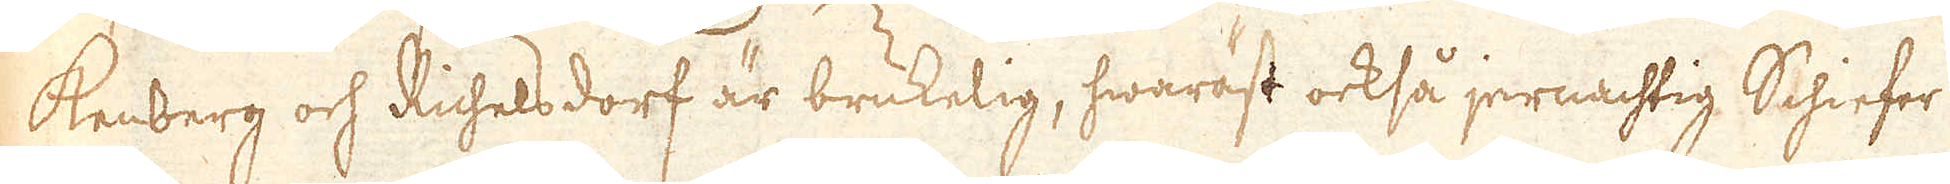kenberg och Richelsdorf är brukelig, hwaräst också jernachtig Schiefer
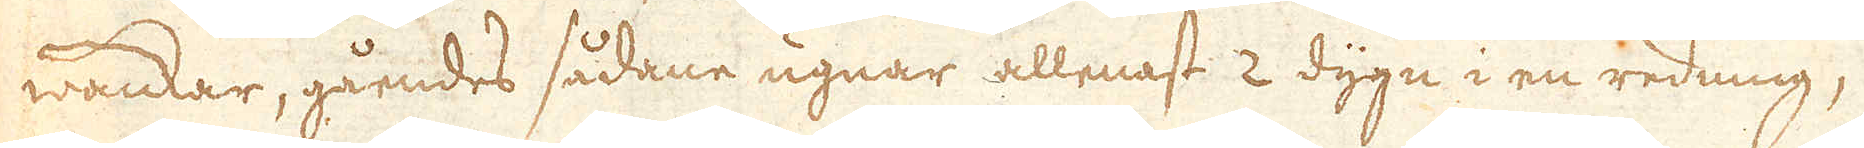wankar, gåendes sådane ugnar allenast 2 dygn i en redning;,
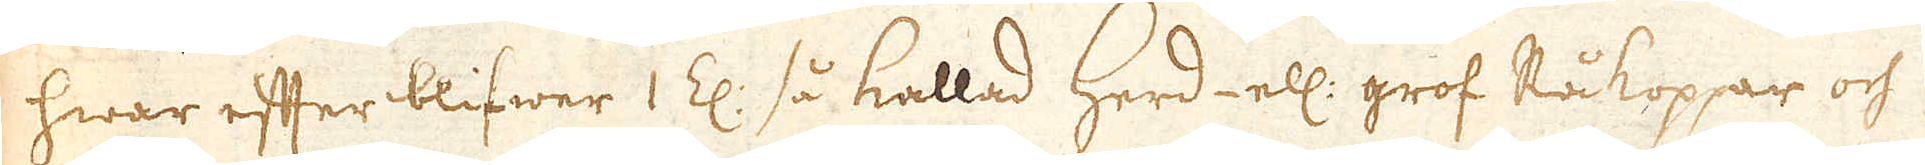hwar efter blifwer 1 Z: så kallad herd- ell: grof Råkoppar och
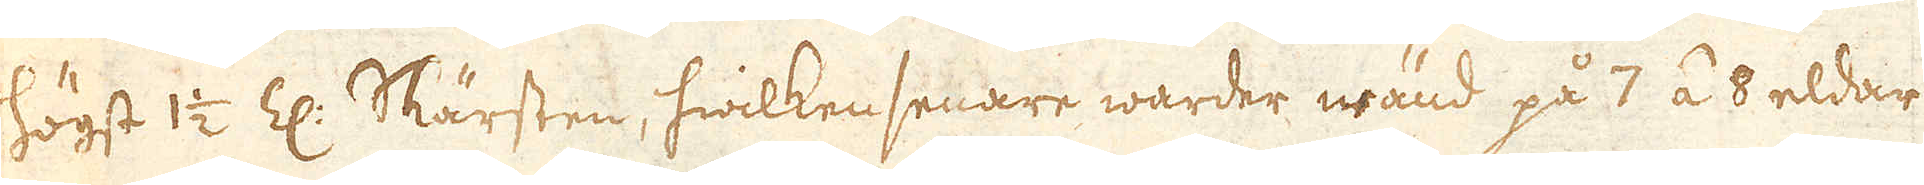högst 1/2 Z: Skärsten, hwilken senare warder wänd på 7 á 8 eldar
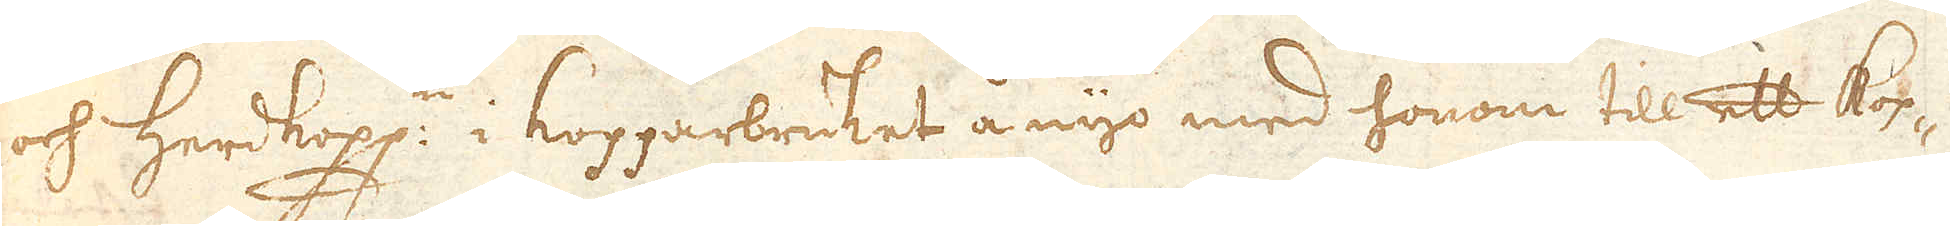och herdkopp:n i Kopparbruket å nyo med honom till ett kop-
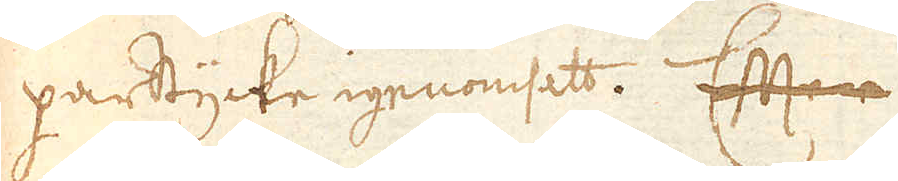parstycke igenomsett. Efter
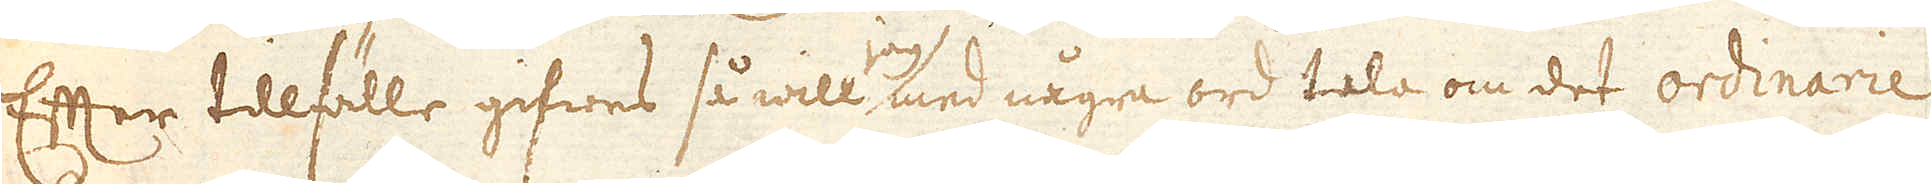Efter tillfälle gifwes så will jag med några ord tala om det ordinarie
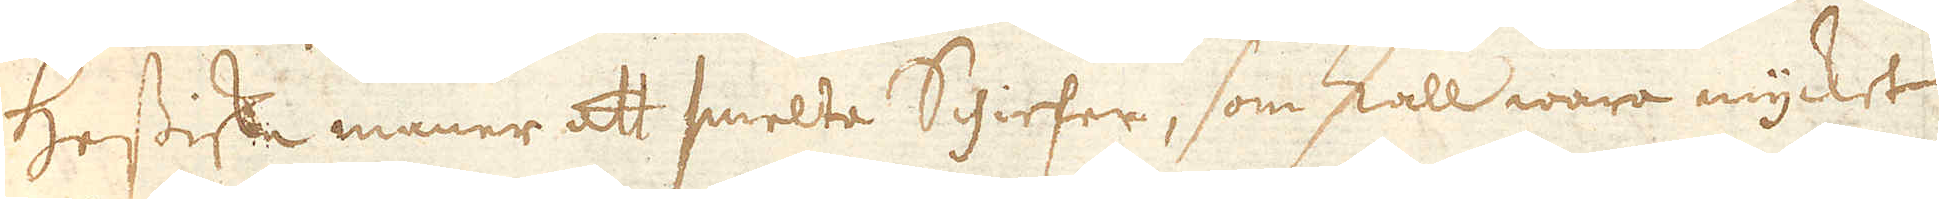Hessiske maner att smelta Schiefer, som skall wara mycket
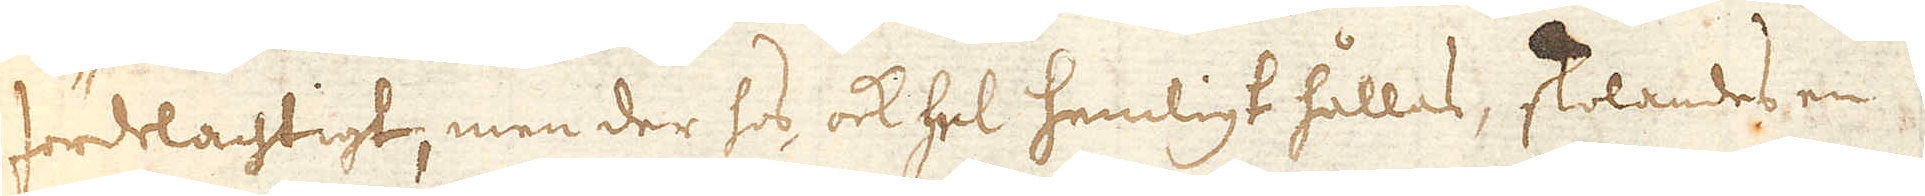fördelachtigt, men der hos, ock hel hemligt hållas, skolandes en
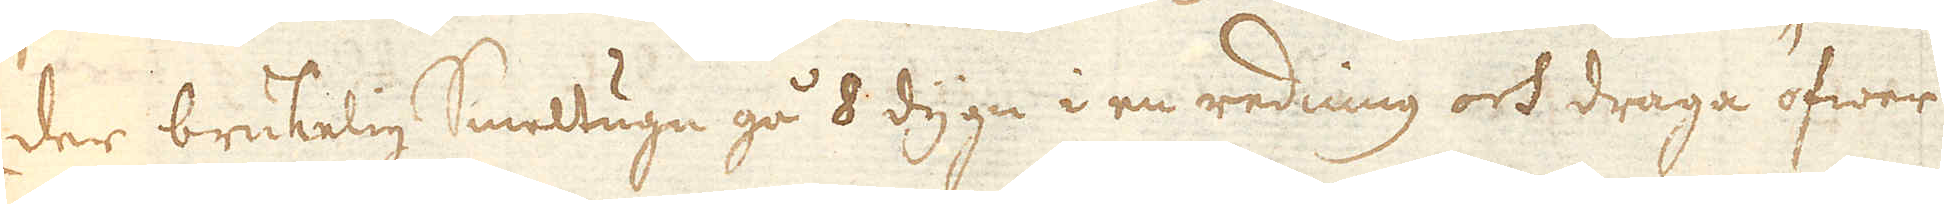der brukelig Smeltugn gå 8 dygn i en redning och draga öfwer
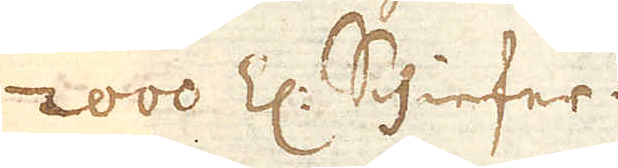2000 Z:n Schiefer.
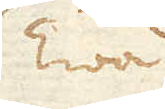Twå
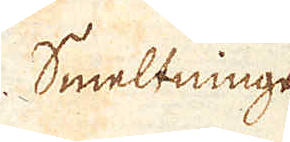Smeltningen
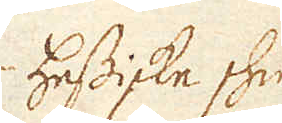Hessiske skie-
